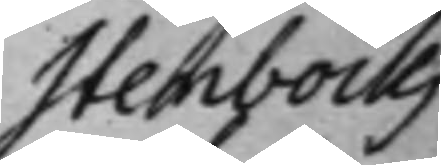Stenbocks
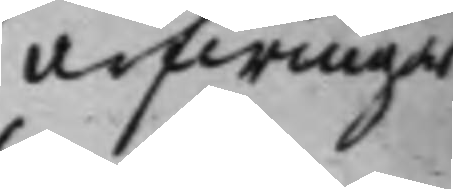arfwingar
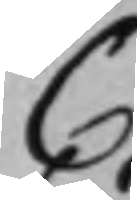C
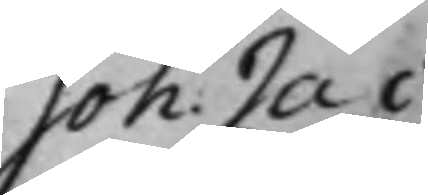Joh: Jac
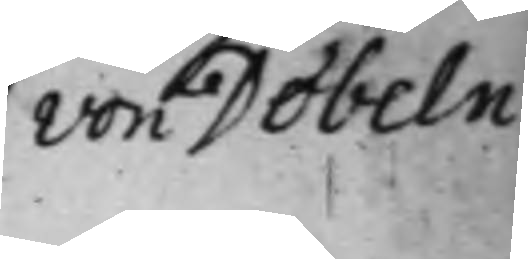von Döbeln
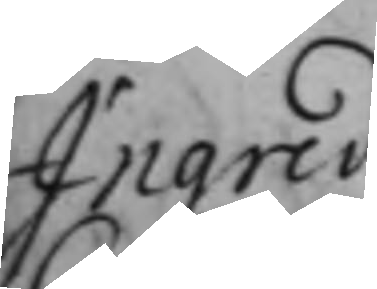Ingrid
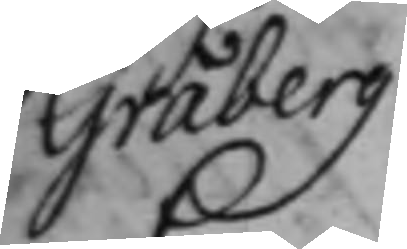Gråberg
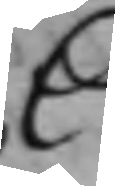C.
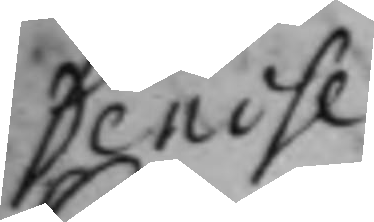Denise
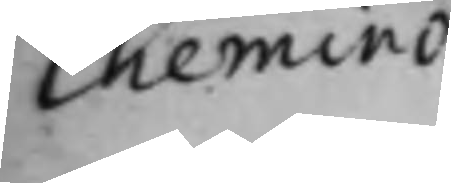Chemino
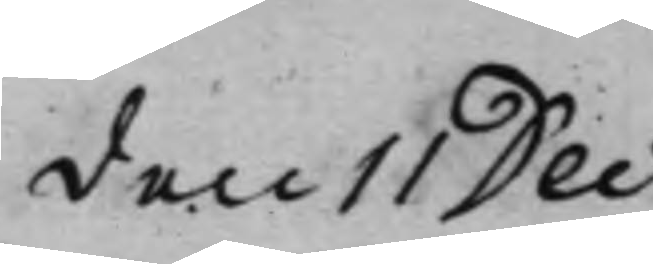den 11 Dec:
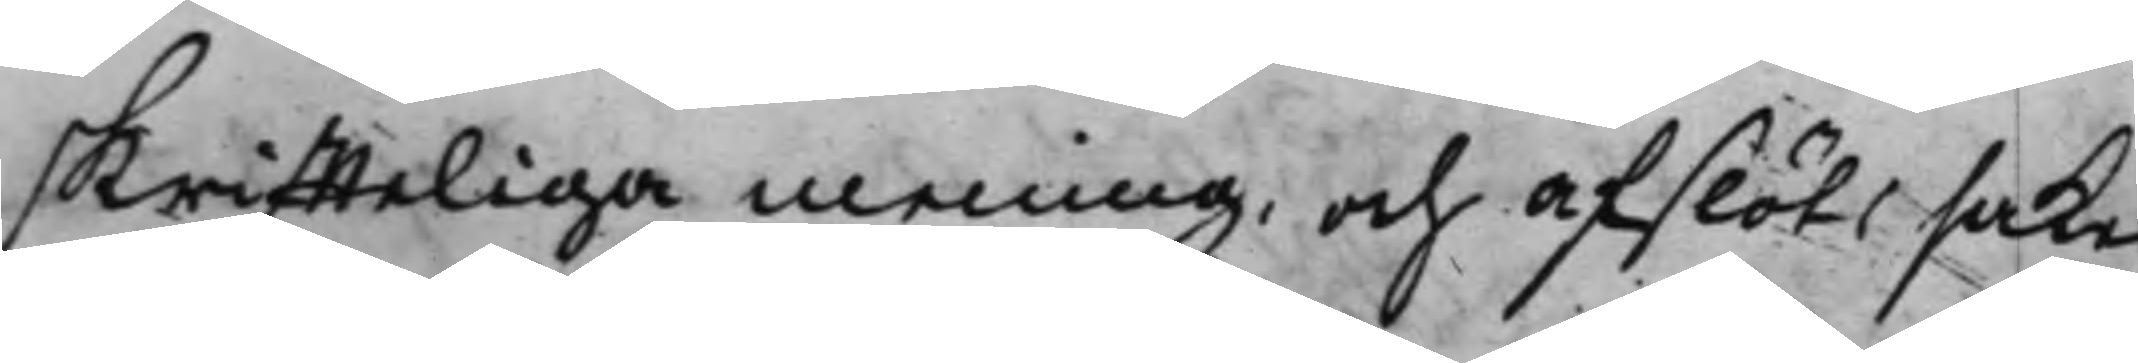skriffteliga mening, och afslöts saken
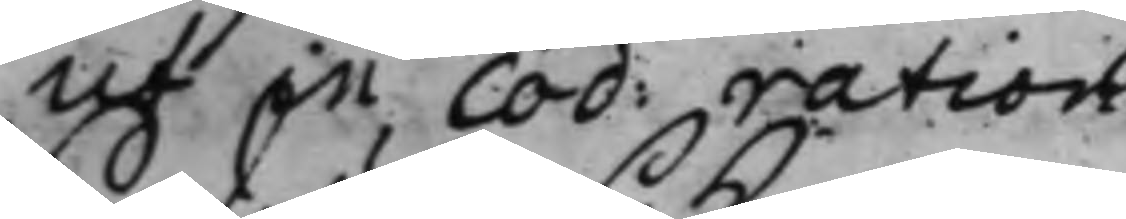ut in cod: ration:
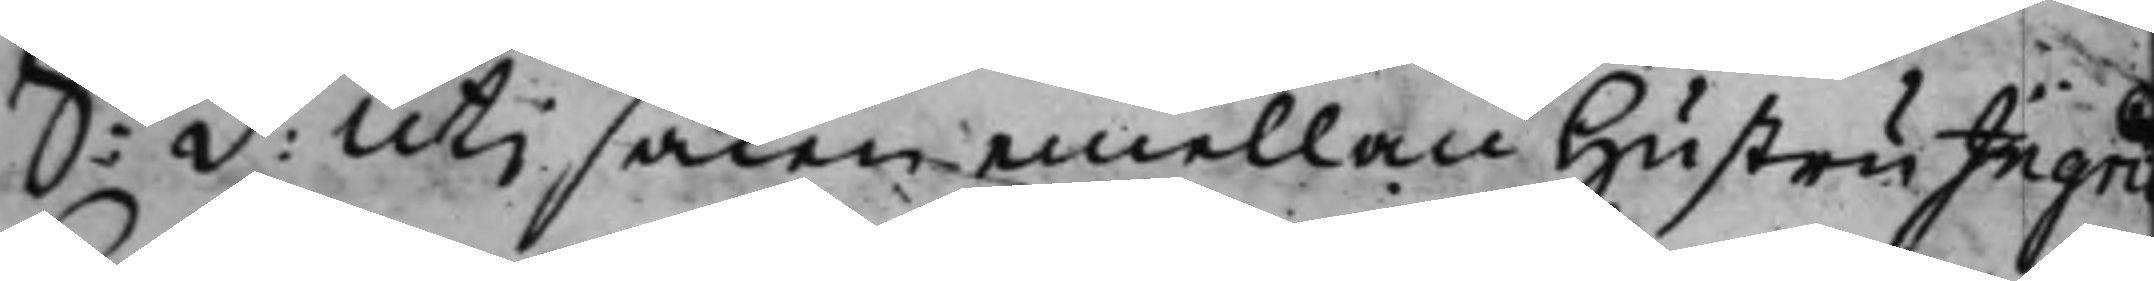S: d: Uti saken emellan Hustru Ingrid
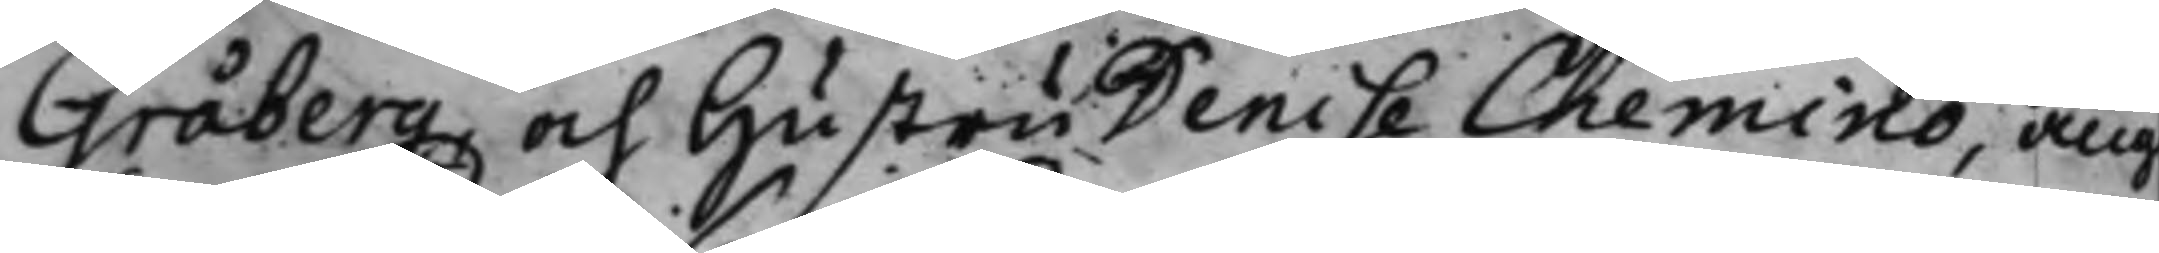Gråberg och Hustru Denise Chemino, ang
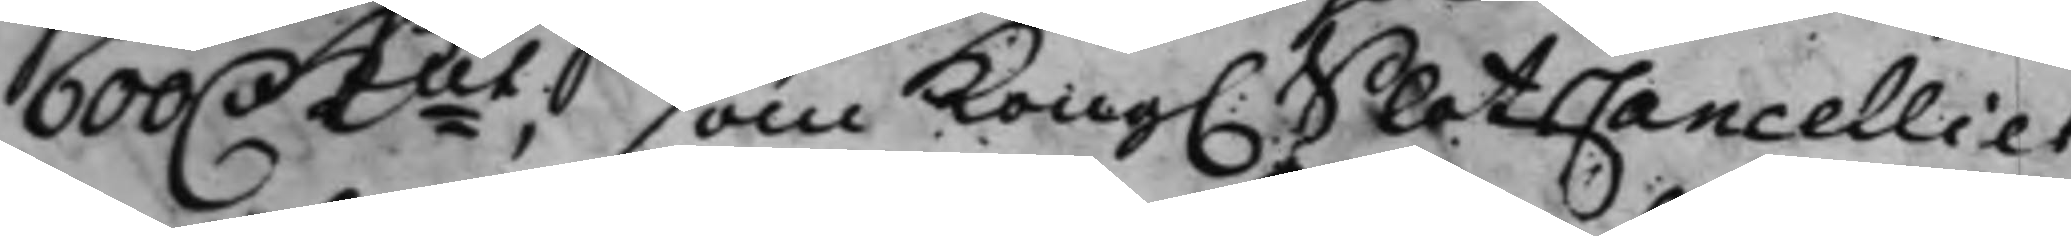600 D. Kmt, som Kong. SlotsCancelliet,
